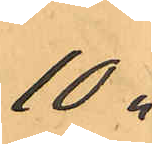10 "
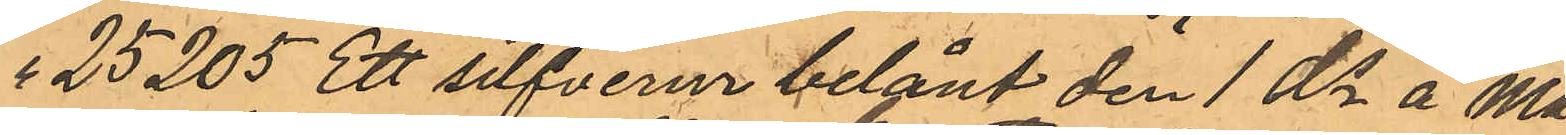" 25205 Ett sifverur belånt den 1 ds å Ma¬
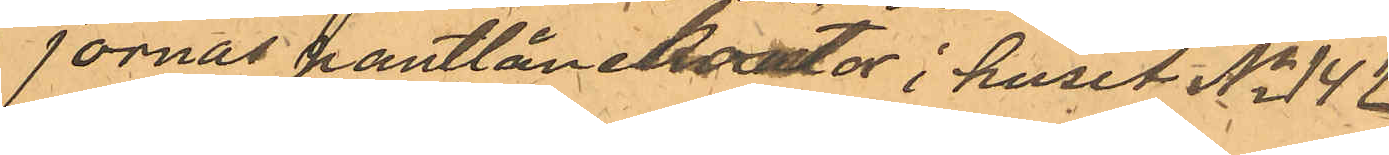jornas pantlånekontor i huset No 142
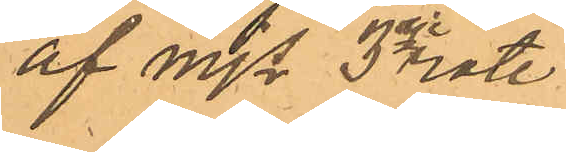af Mjs 3dje rote
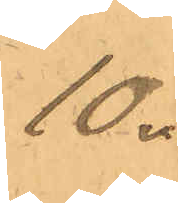10 "
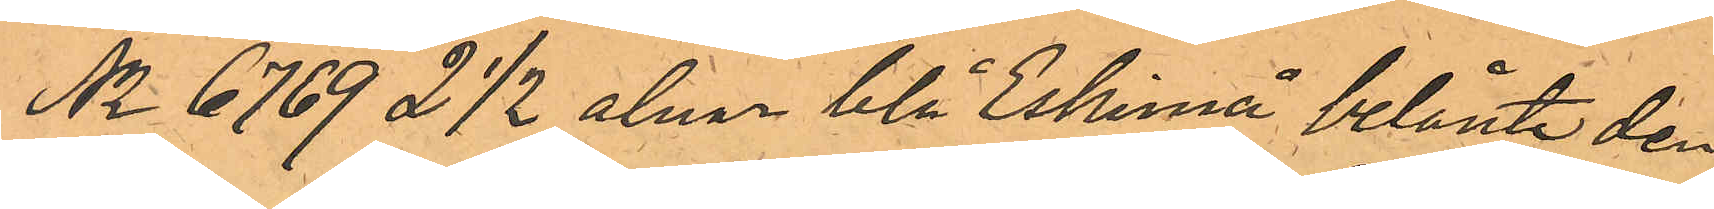No 6769 2 1/2 alnar blå Eskimå belånte den
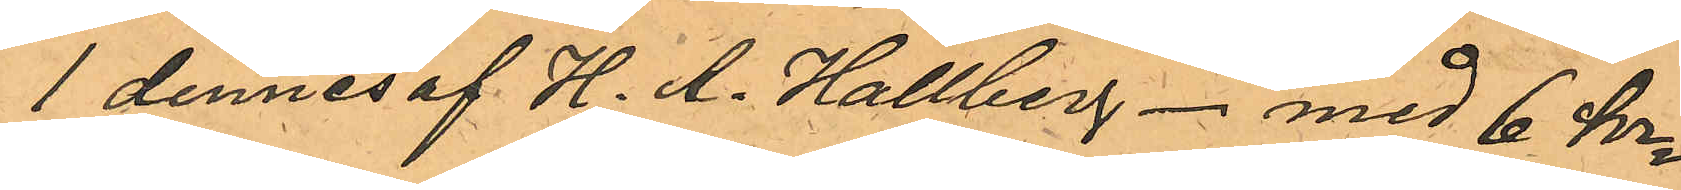1 dennes af H. A. Hallberg - med 6 kr
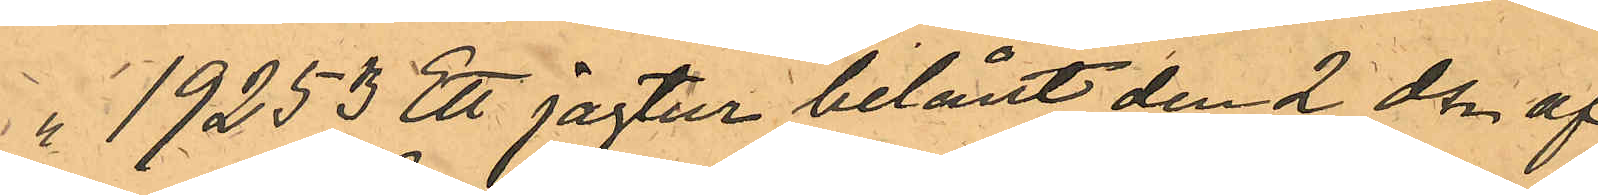" 19253 Ett jagtur belånt den 2 ds af
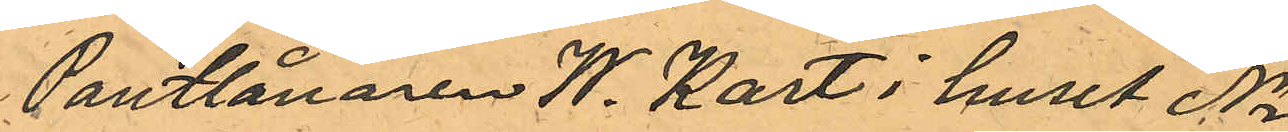Pantlånaren W. Kart i huset No
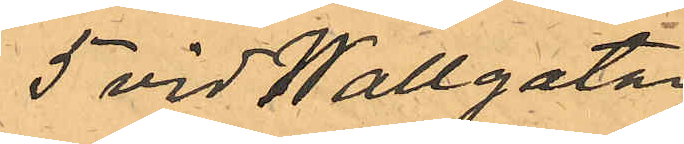5 vid Wallgatan
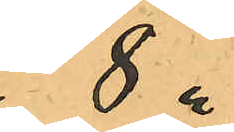8 "
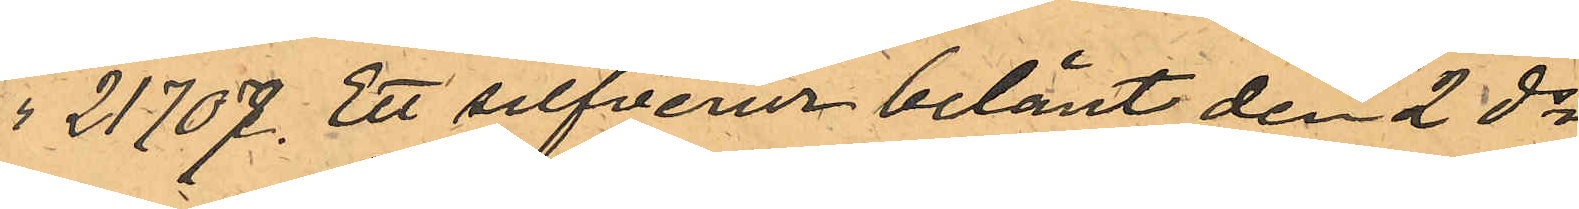" 21707 Ett silfverur belånt den 2 ds
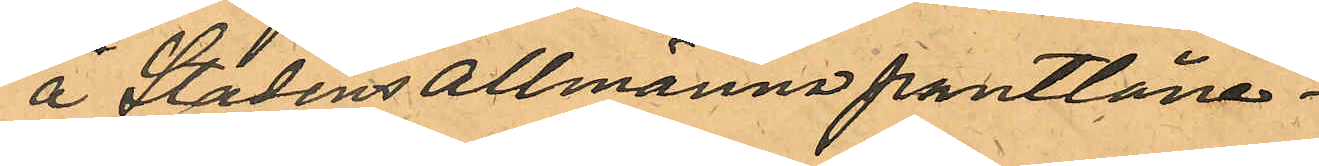å Stadens allmänna pantlåne¬
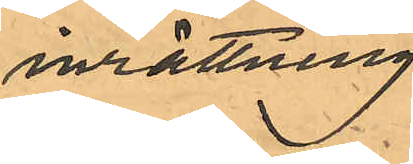inrättning
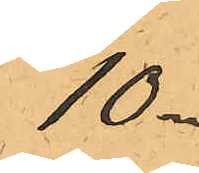10 "
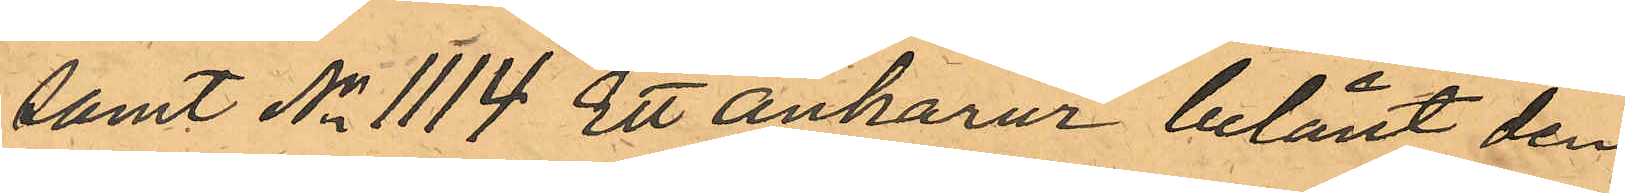samt No 1114 Ett ankarur belånt den
